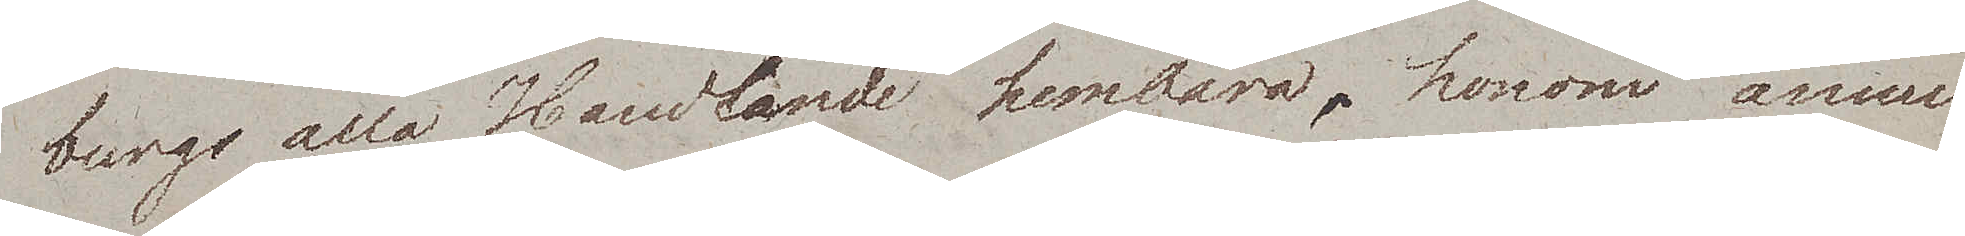burgs alla Handlande hembära, honom ännu
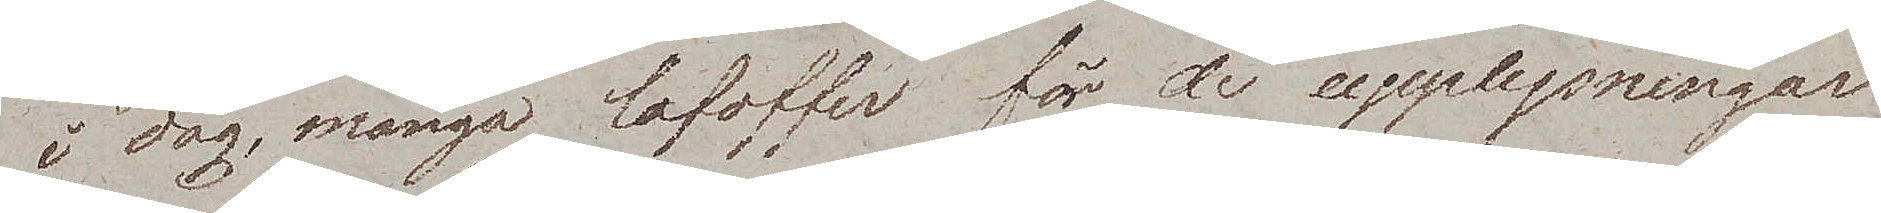i dag, många lofoffer för de upplysningar
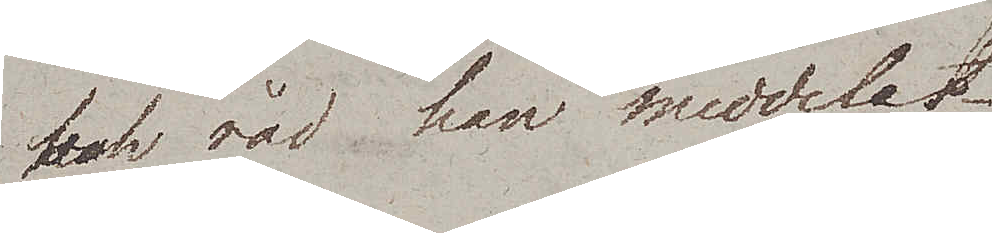och råd han meddelat.
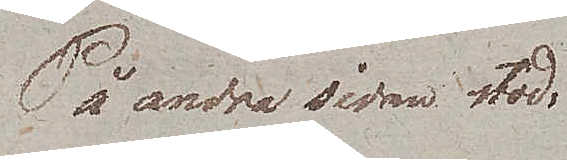På andra sidan stod:
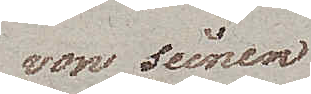von seinen
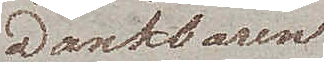Dankbaren
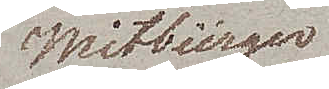Mitbürger
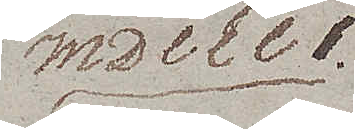MDCCCI.
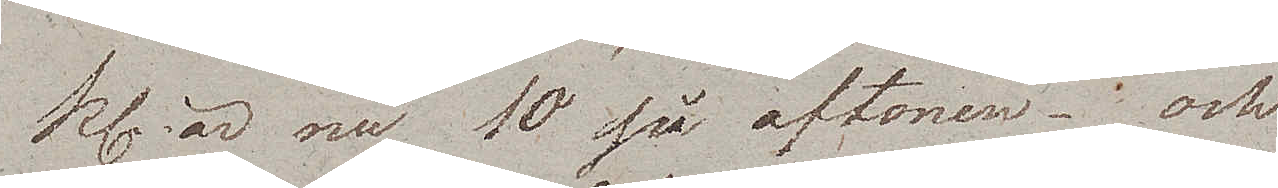Kl. är nu 10 på aftonen – och
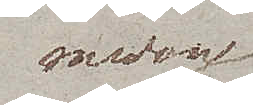medan
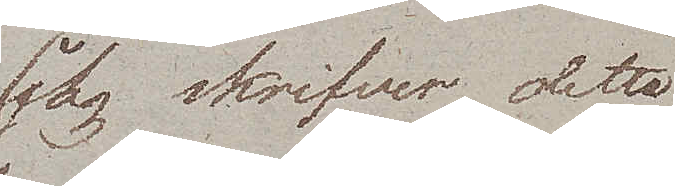jag skrifver detta
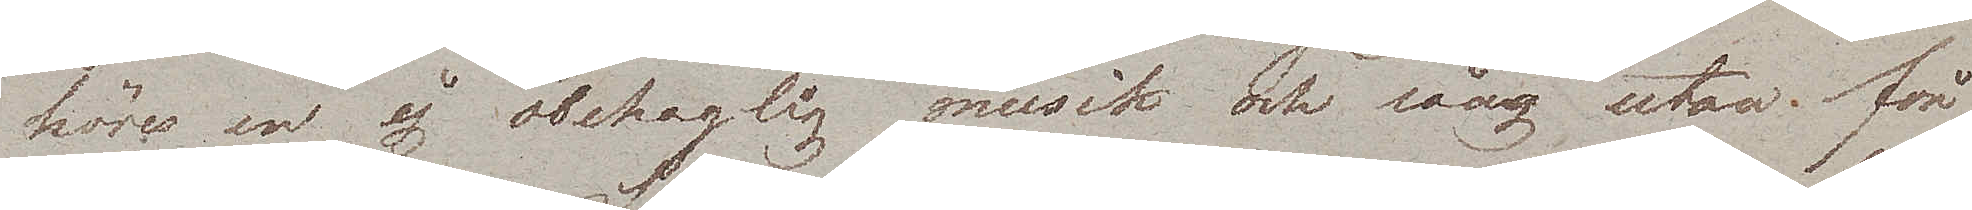höres en ej obehaglig musik och sång, utanför
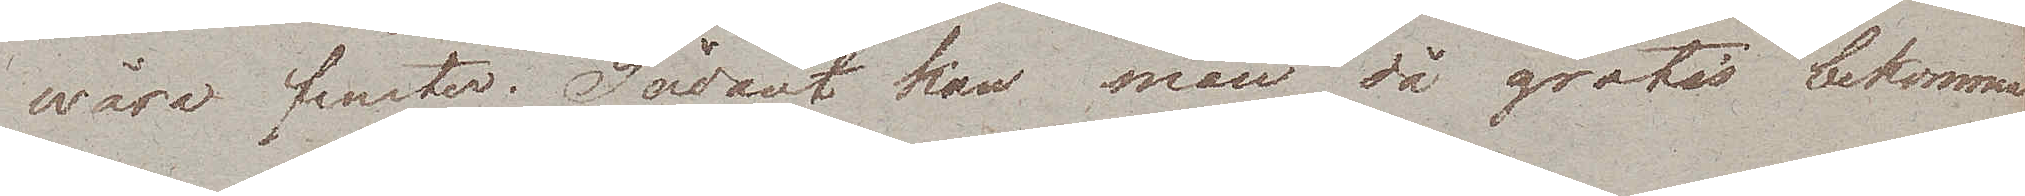wåra fenster. Sådant kan man då gratis bekomma
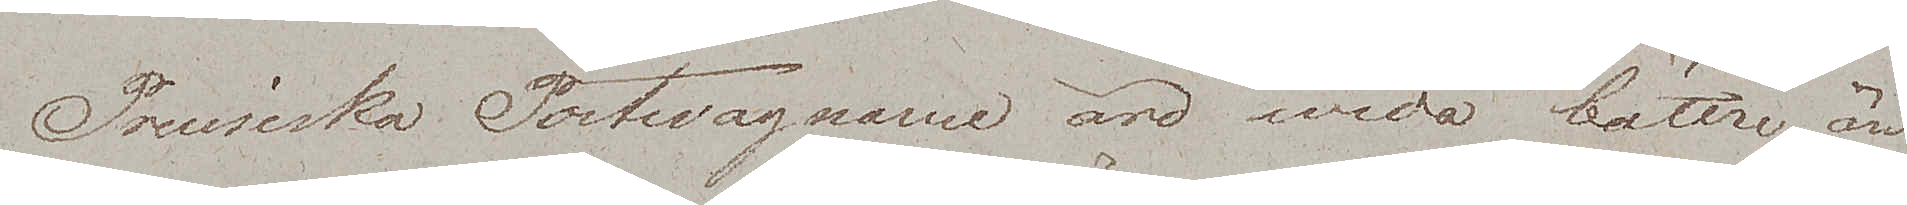Preusiska Postwagnarne äro wida bättre än
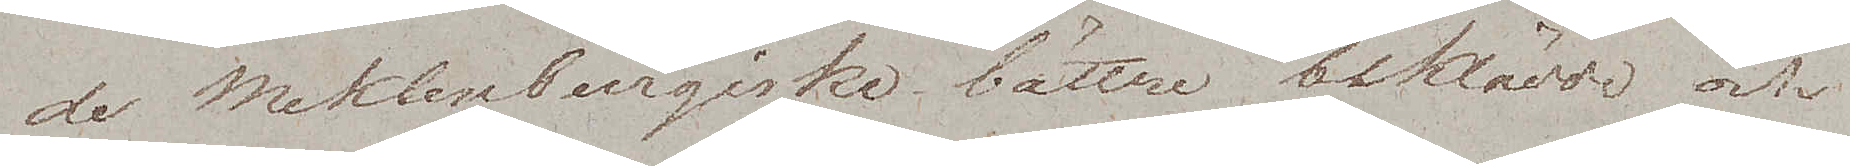de Meklenburgiska, bättre beklädda och
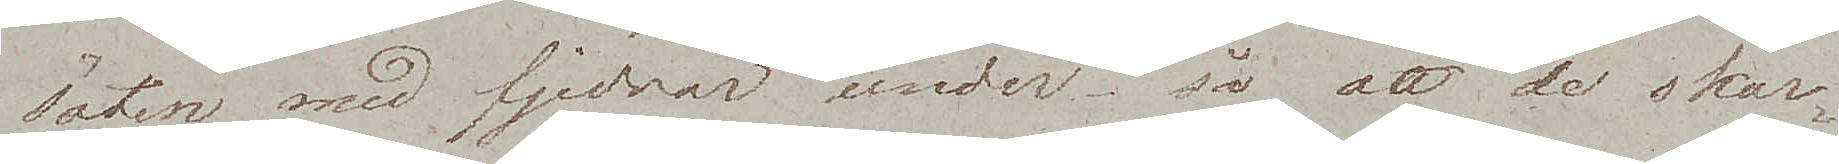säten med fjedrar under så att de skar¬
